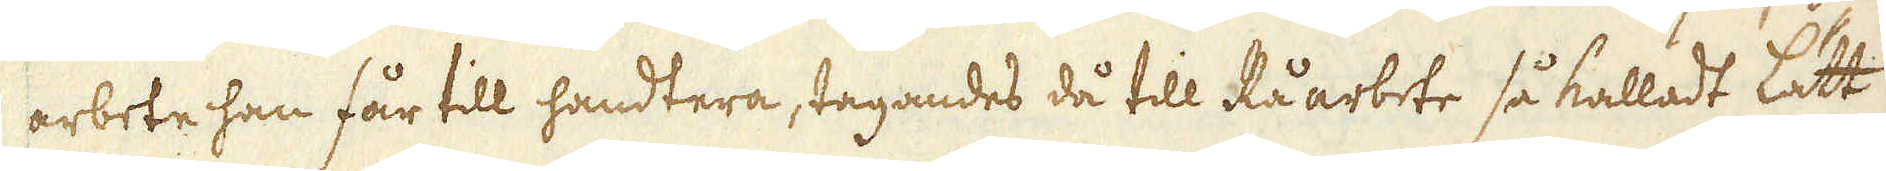arbete han får till handtera, tagandes då till Råarbete så kalladt lätt
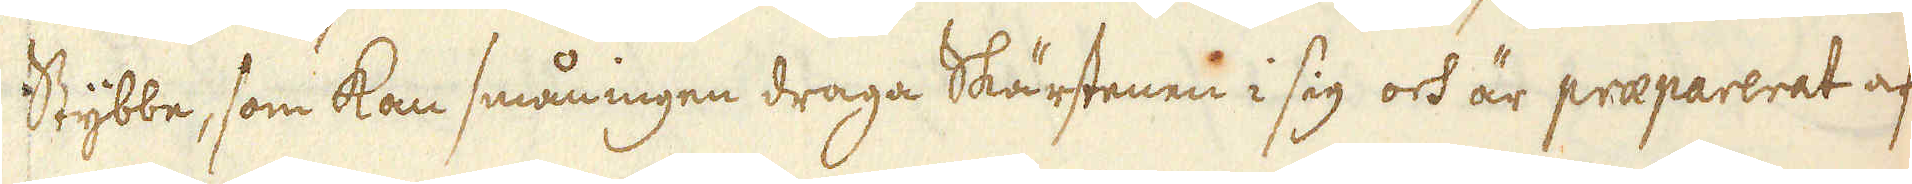Stybbe, som kan småningen draga Skärstenen i sig och är praeparerat af
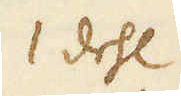1 dehl
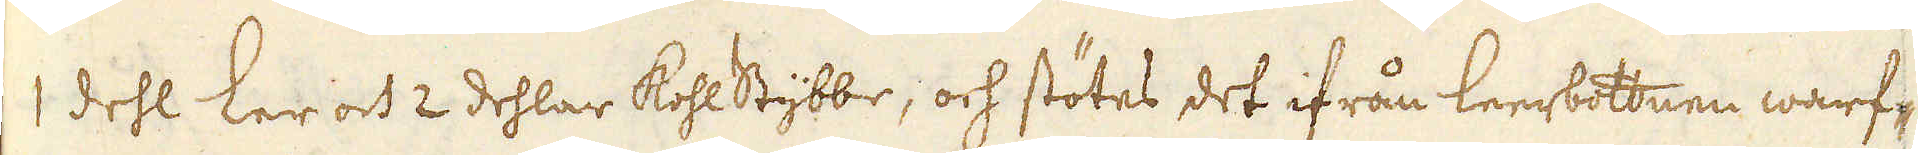1 dehl ler och 2 dehlar KohlStybbe, och stötes det ifrån leerbottnen warf-
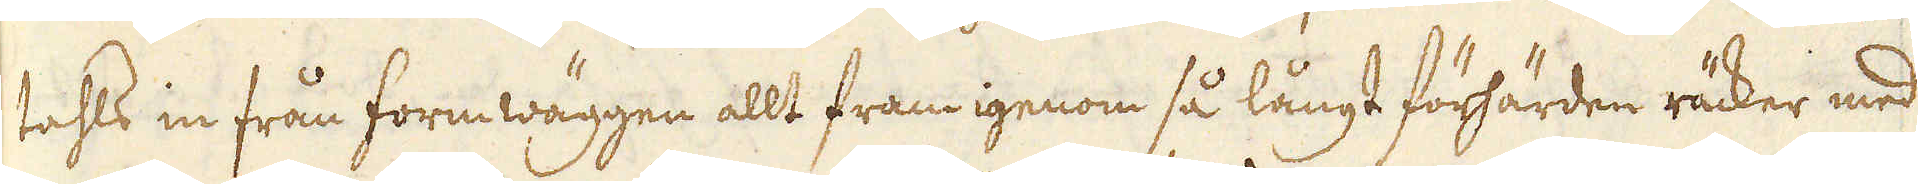tahls in från formwäggen allt fram igenom så långt förhärden räcker med
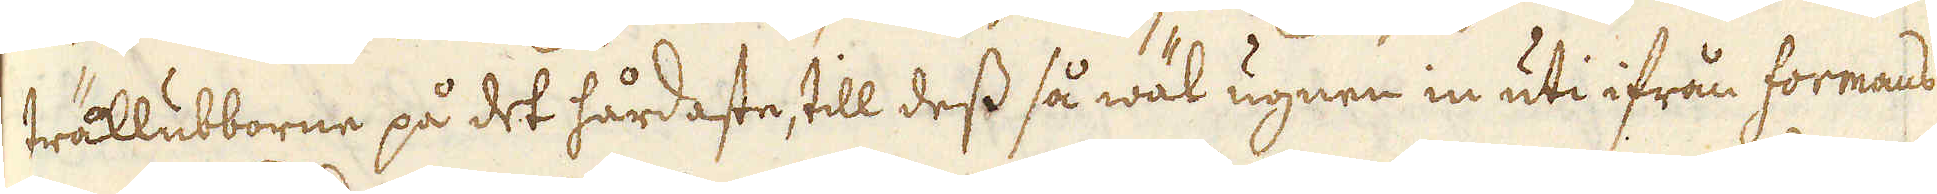träklubborne på det hårdaste, till dess så wäl ugnen in uti ifrån formans
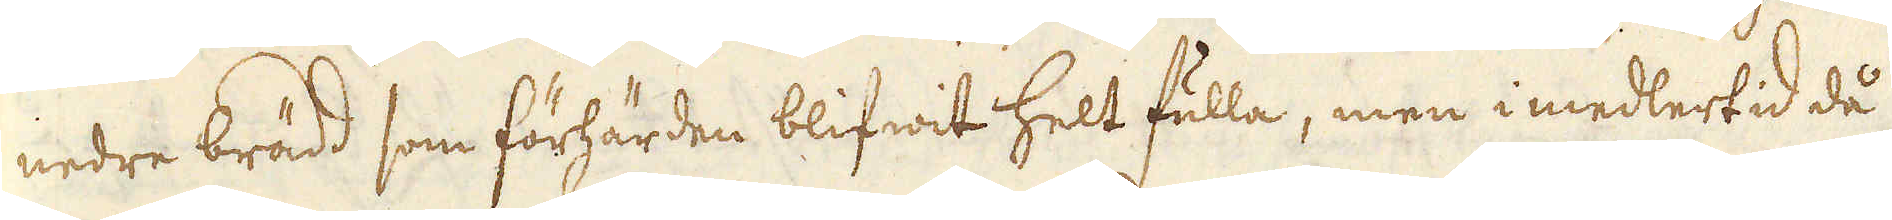nedre brädd som förhärden blifwit helt fulla, men i medlertid då
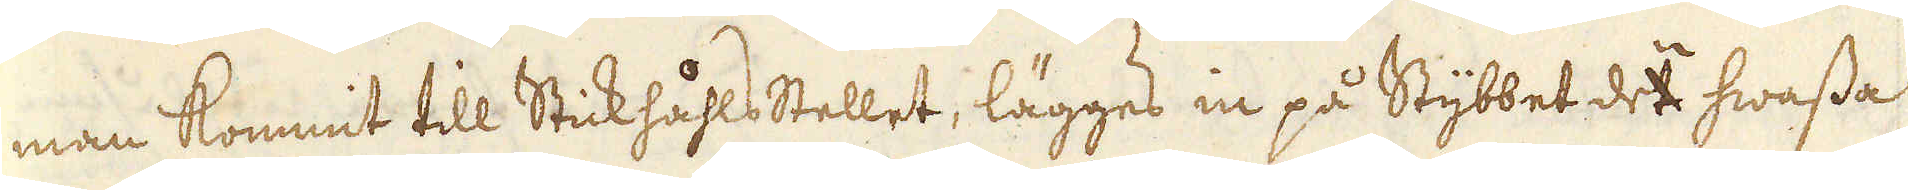man kommit till Stickhåhlsstellet, lägges in på Stybbet det hwassa
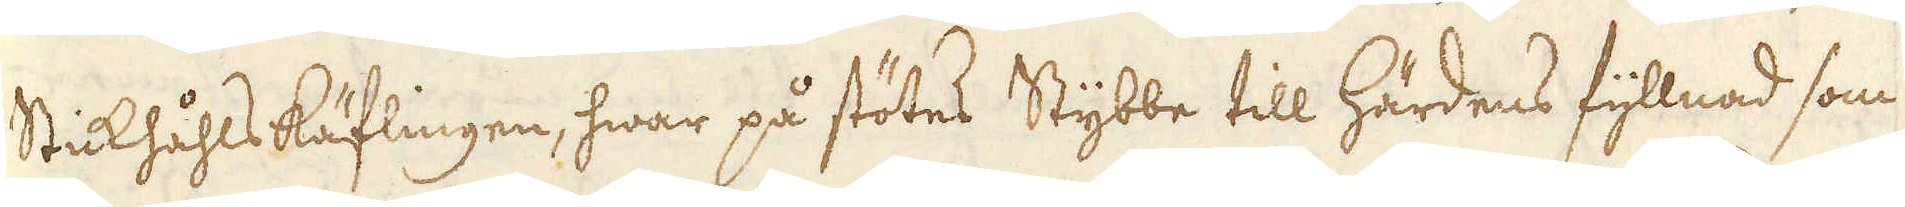Stickhåhlskäflingen, hwar på stötes Stybbe till härdens fyllnad som
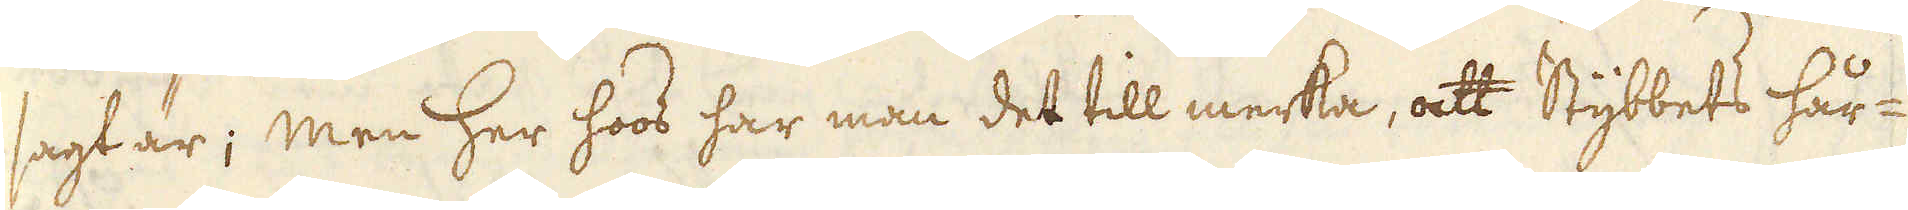sagt är; men her hoos har man det till merka, att Stybbets hår-
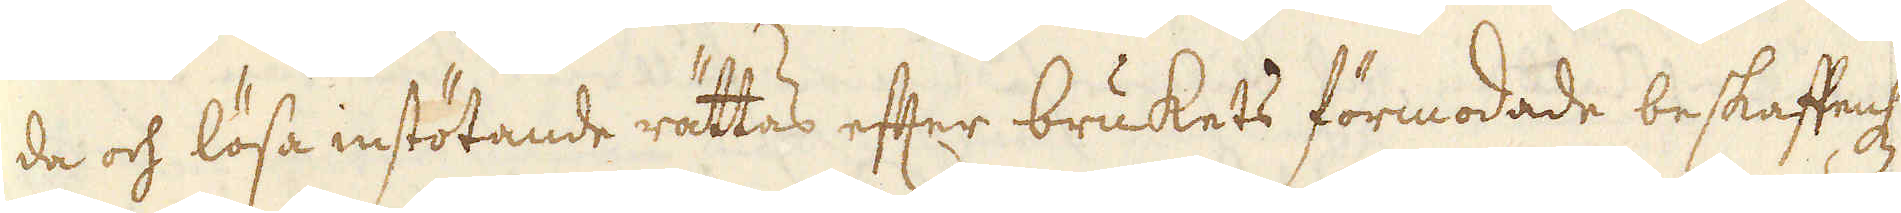de och lösa instötande rättas efter brukets förmodade beskaffenhet
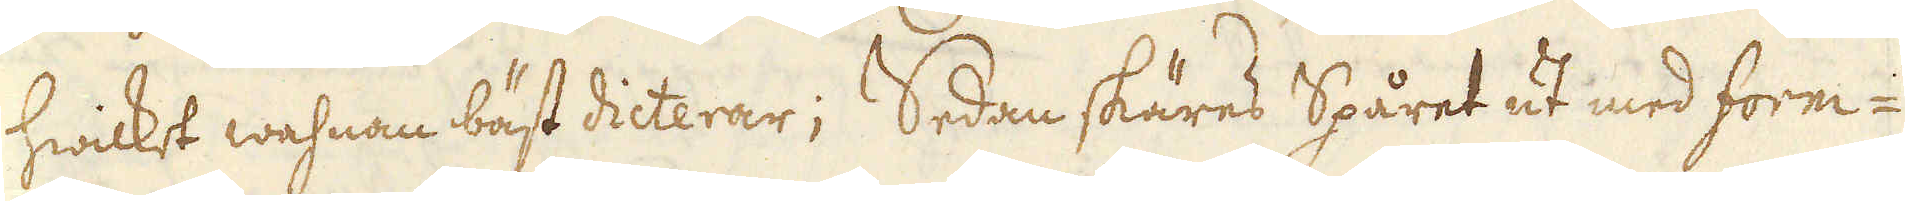hwilket wahnan bäst dicterar; Sedan skäres Spåret ut med form-
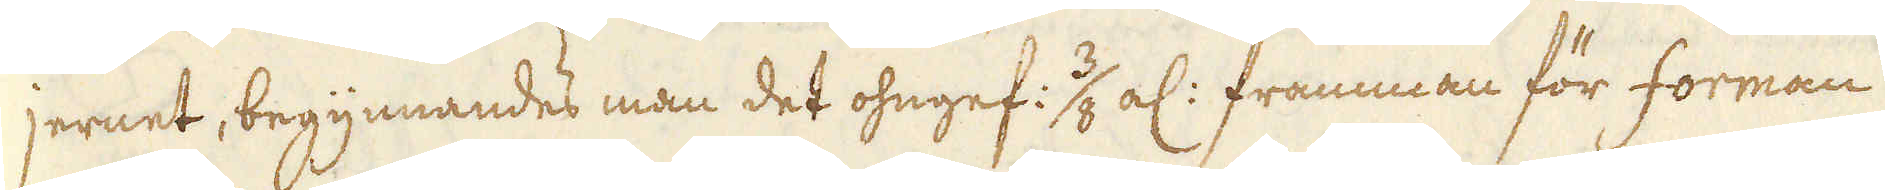jernet, begynnandes man det ohngef: 3/8 al: framman för forman
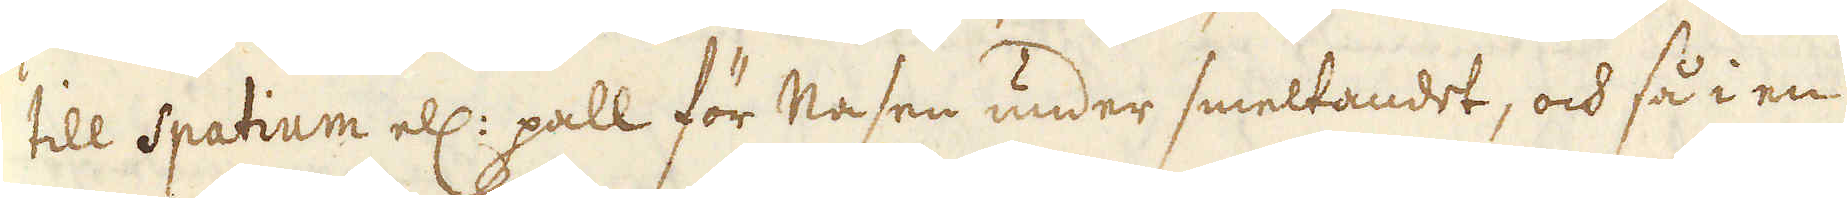till Spatium ell: pall för Nasen under smeltandet, och så i en
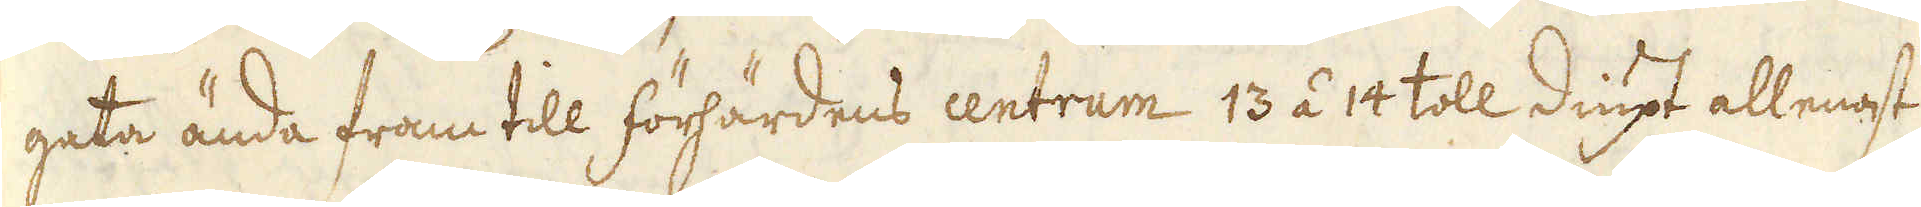gata ända fram till förhärdens centrum 13 á 14 toll diupt allenast
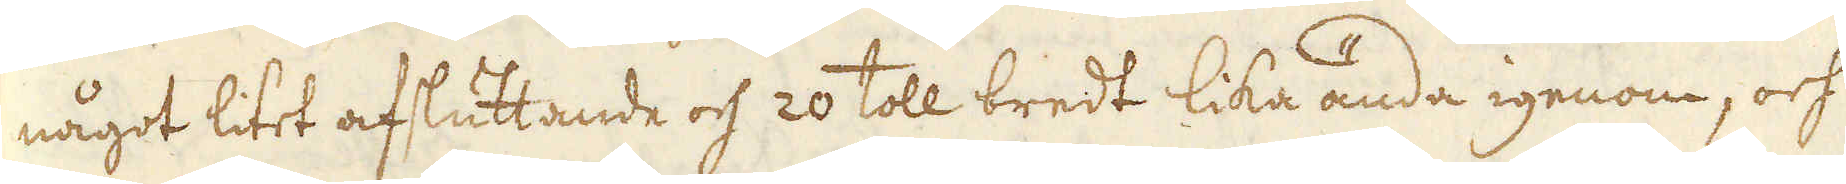något litet afsluttande och 20 toll bredt lika ända igenom, och
